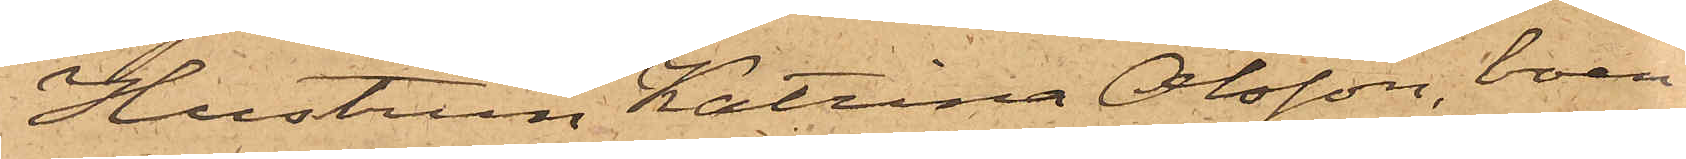Hustrun Katrina Olsson, boen¬
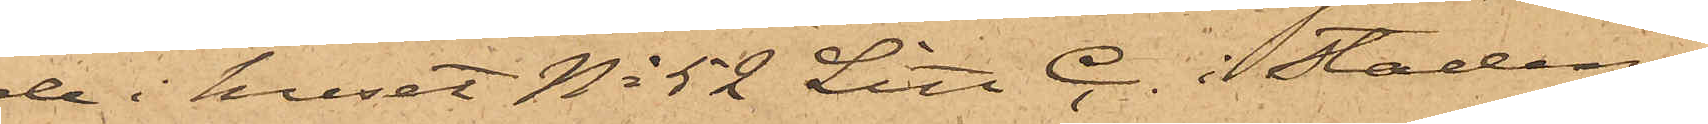de i huset No 52 Litt C. i Stadens
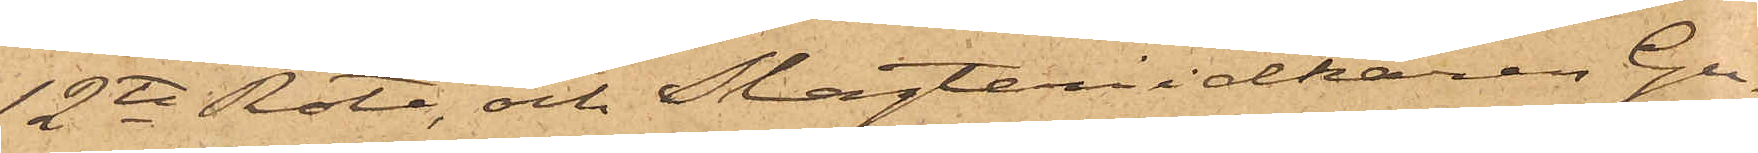12te Rote, och Slagteriidkaren Gu¬
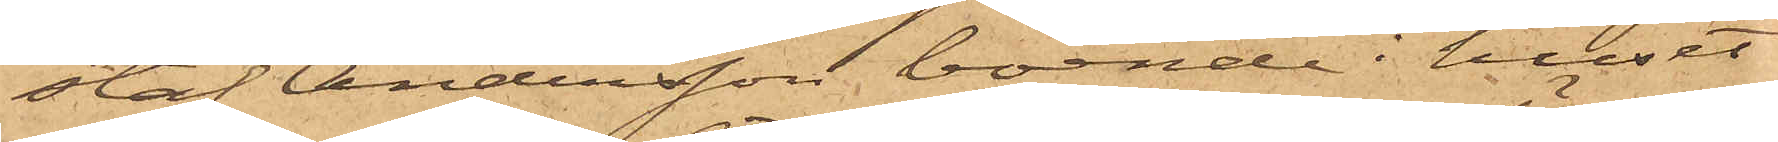staf Andersson, boende i huset
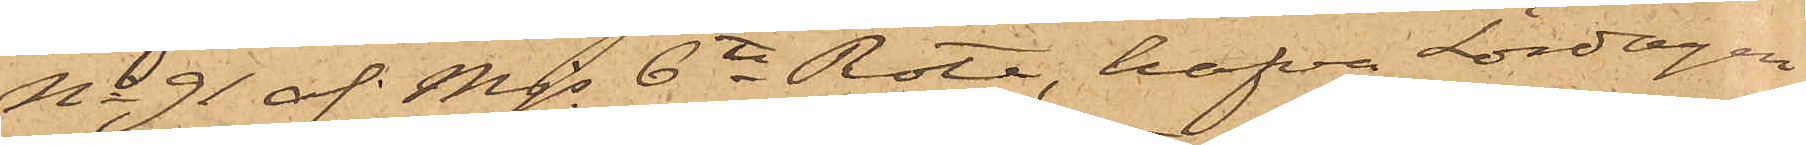No 91 af Mjs 6te Rote, hafva Lördagen
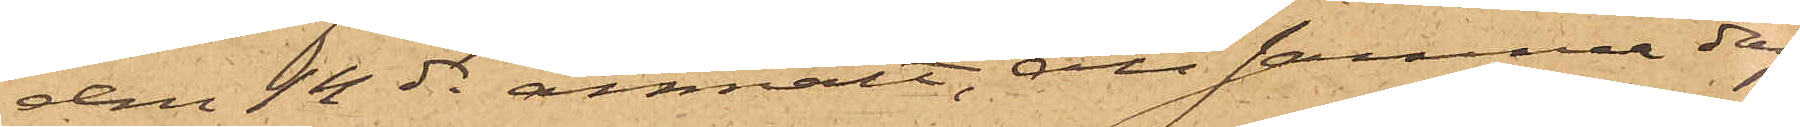den 14 ds anmält, att samma dag
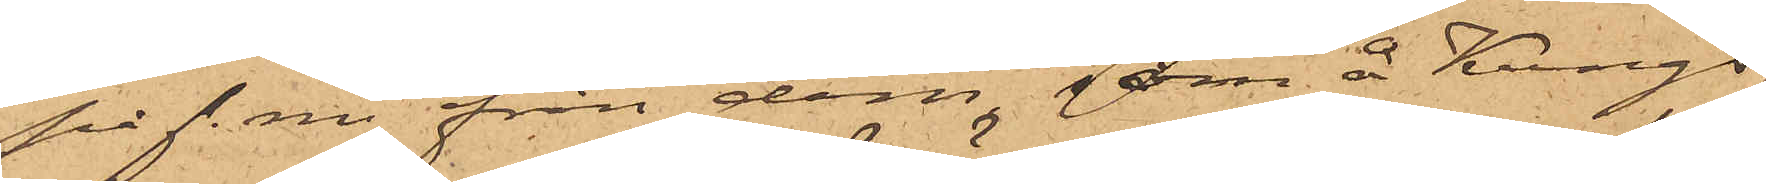på f. m. från dem, som å Kungs¬
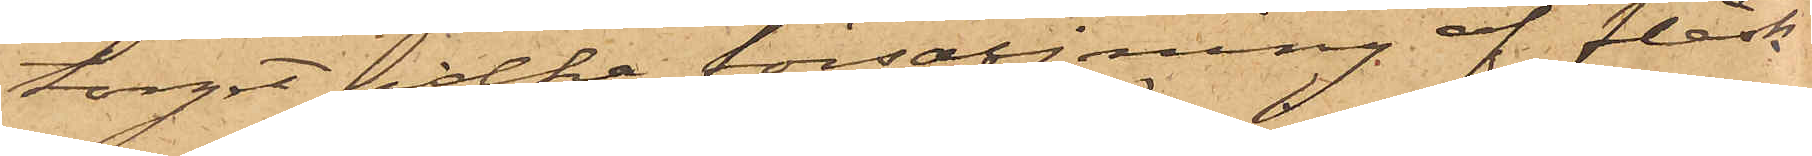torget idkar försäljning af fläsk
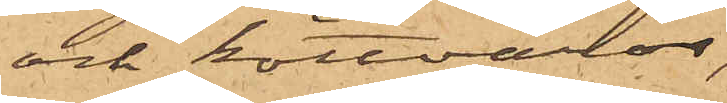och köttvaror,
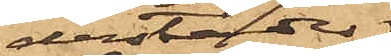derstädes
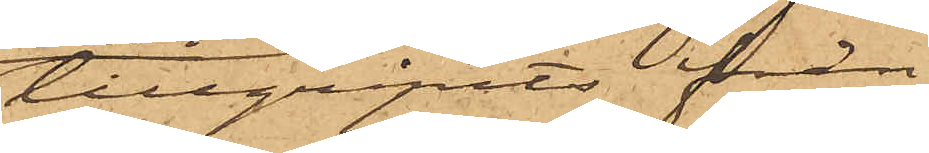tillgripits från
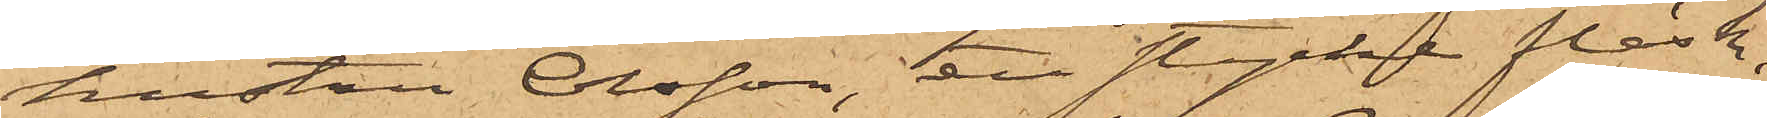hustru Olsson, ett stycke fläsk
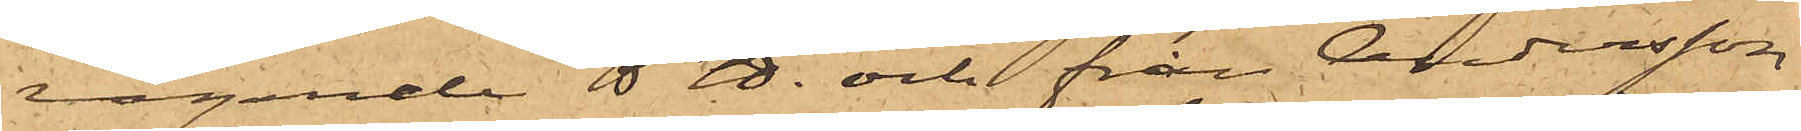vägande 5 ℔ och från Andersson
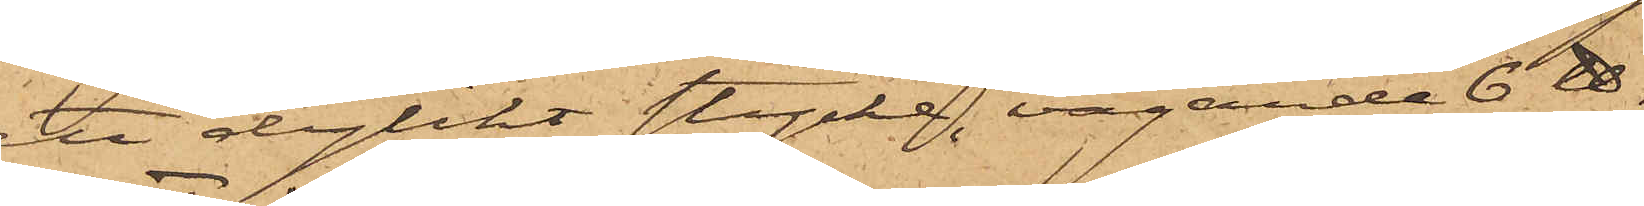ett dylikt stycke, vägande 6 ℔.
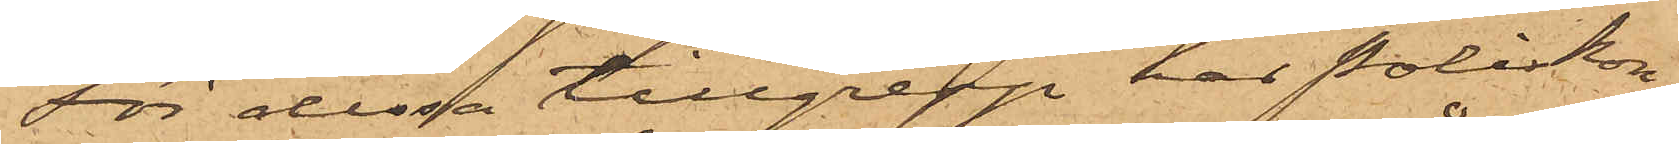För dessa tillgrepp har Poliskon¬
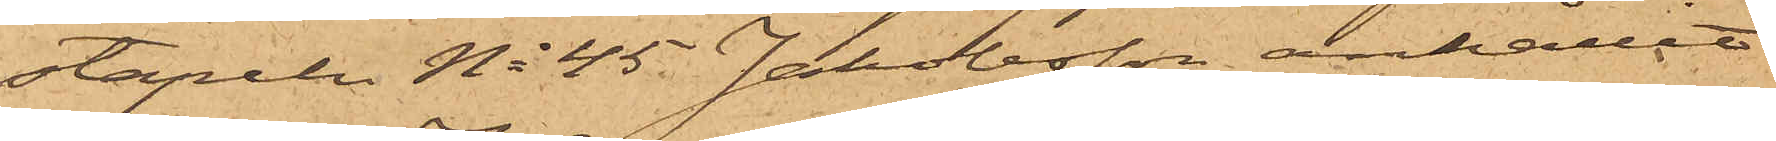stapeln No 45 Johansson anhållit
